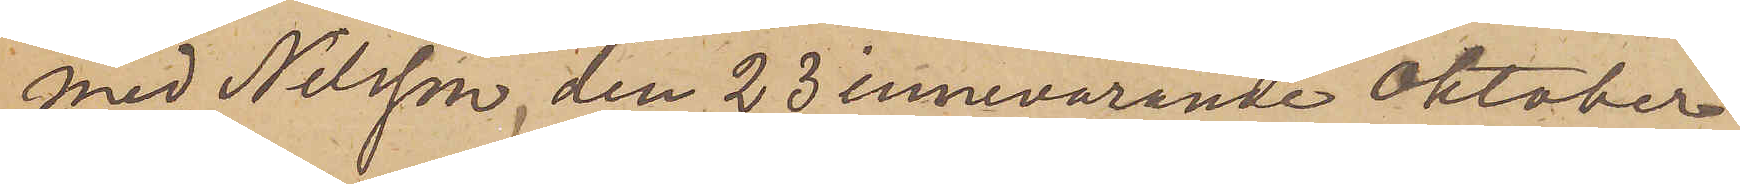med Nilsson den 23 innevarande Oktober
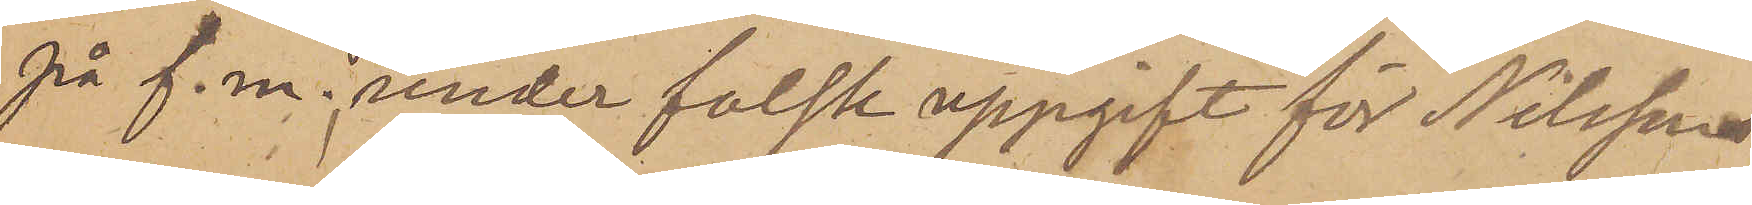på f. m. under falsk uppgift för Nilssons
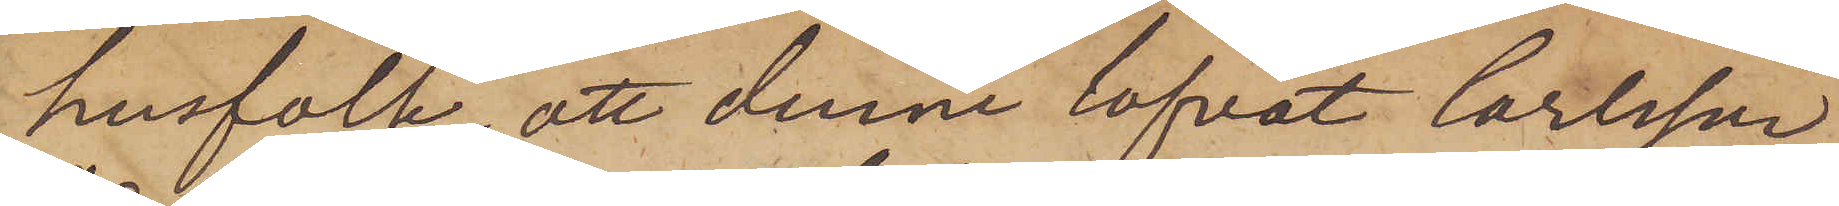husfolk, att denne lofvat Carlsson
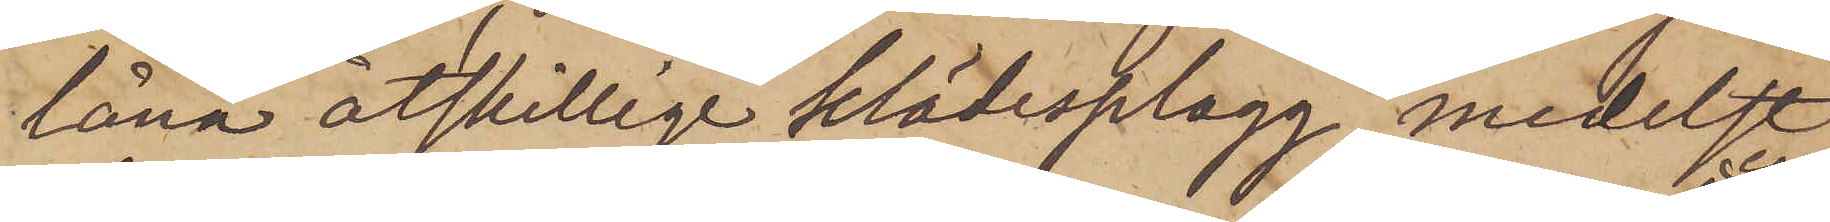låna åtskillige klädesplagg, medelst
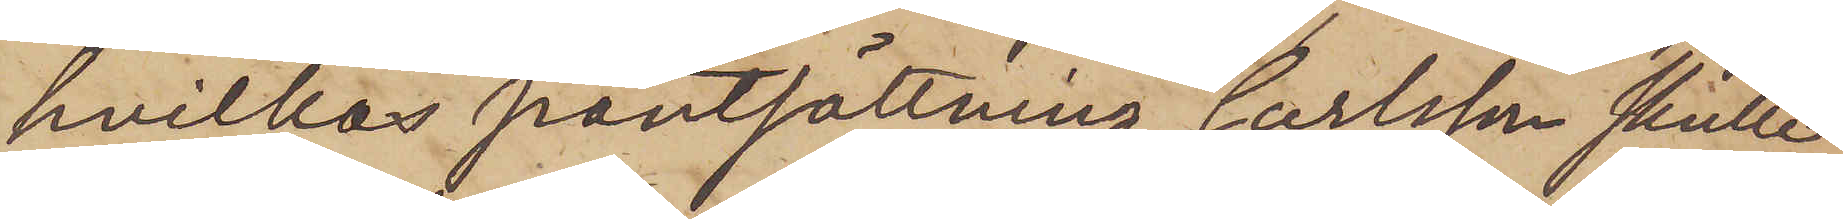hvilkas pantsättning Carlsson skulle
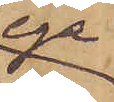ega
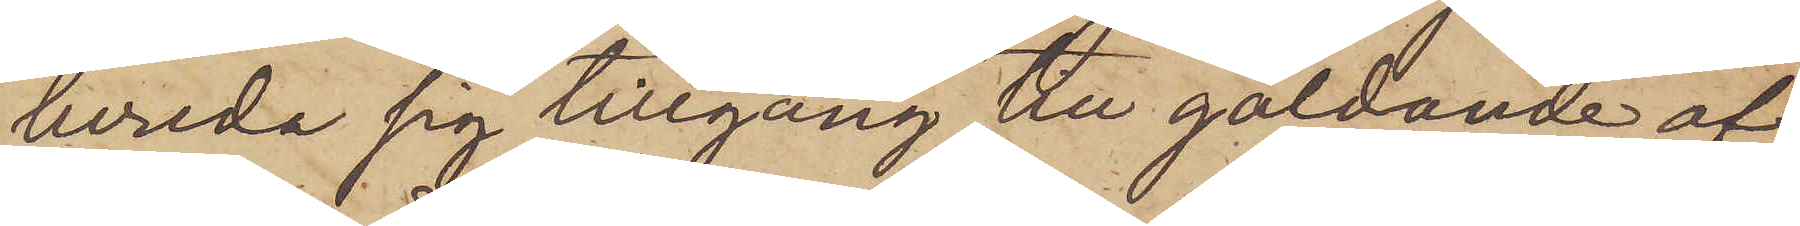bereda sig tillgång till gäldande af
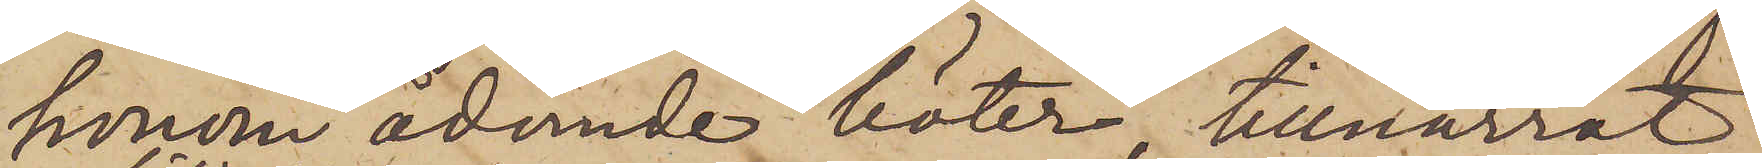honom ådömde böter, tillnarrat
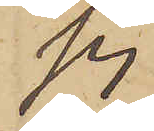sig
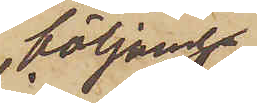följande
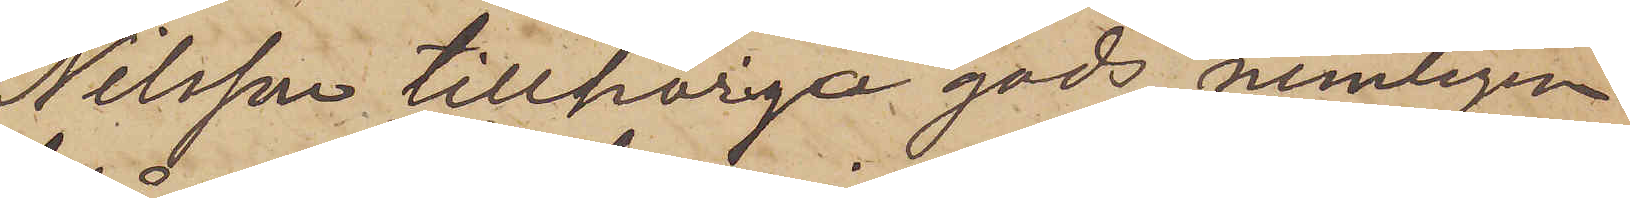Nilsson tillhöriga gods, nemligen
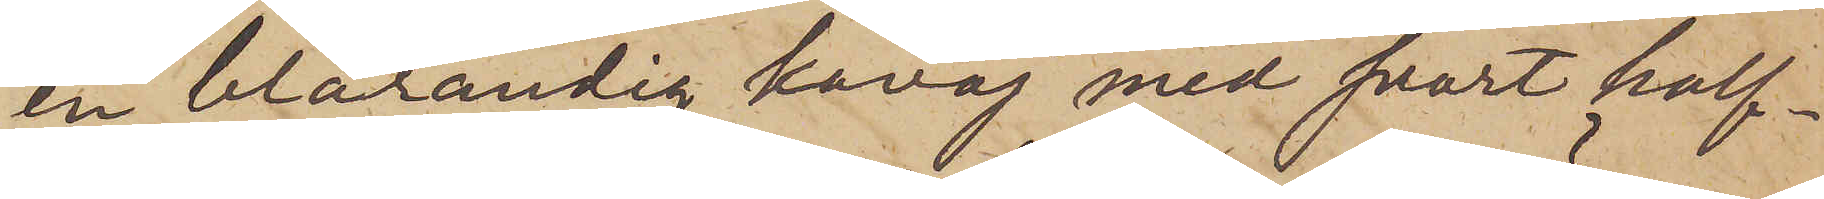en blårandig kavaj med svart half¬
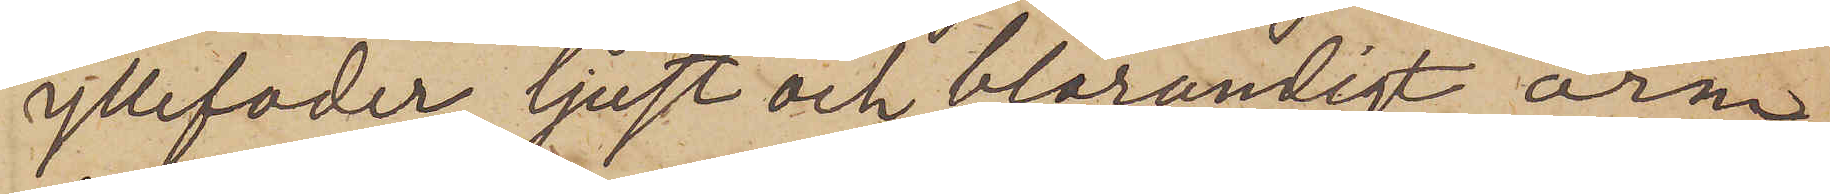yllefoder, ljust och blårandigt ärm¬
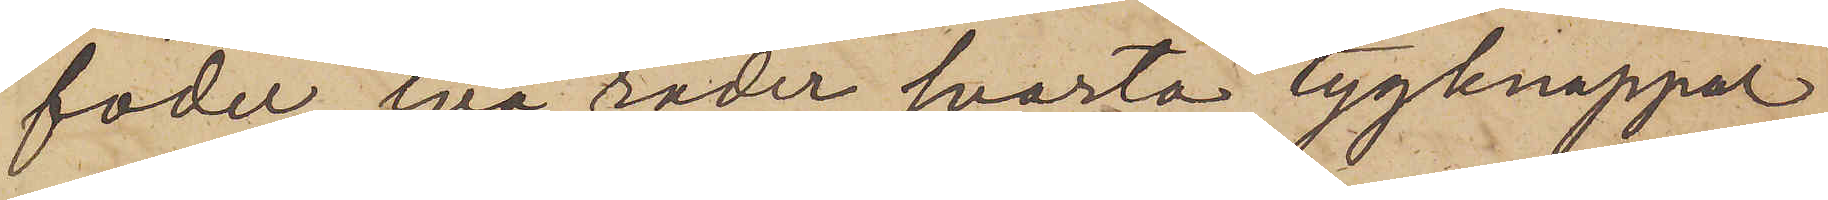foder, två rader svarta tygknappar,
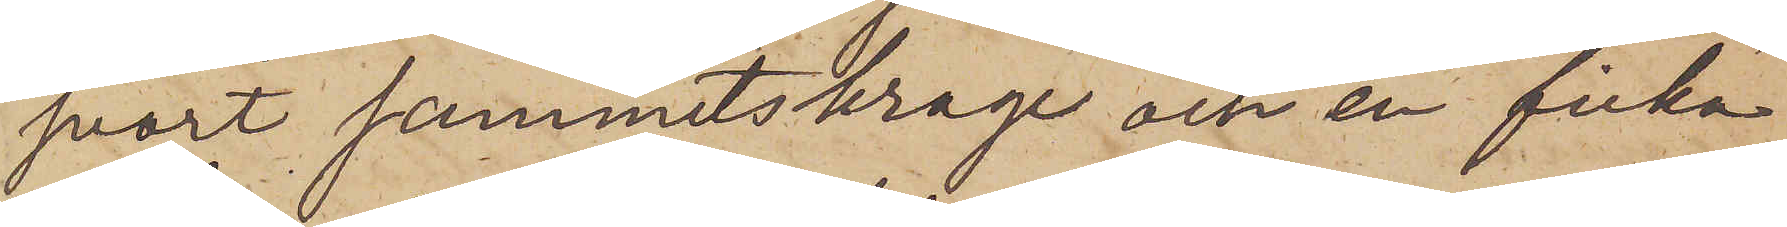svart sammetskrage och en ficka
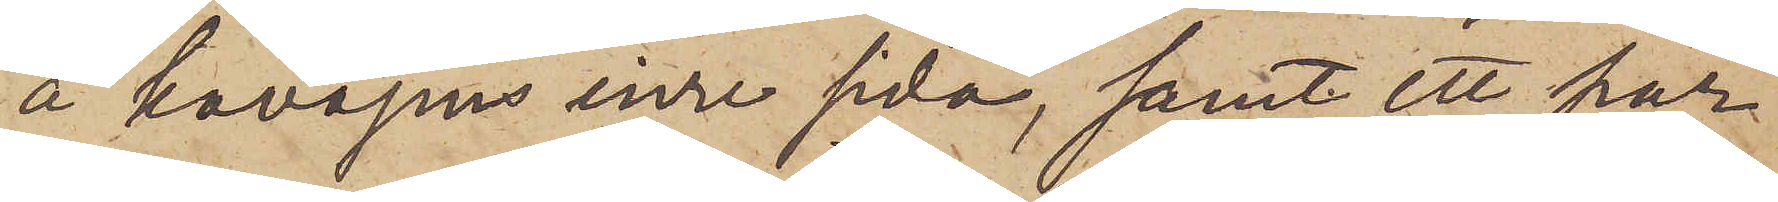å kavajens inre sida, samt ett par
